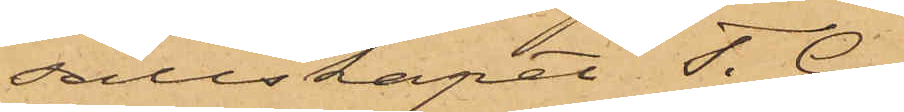sällskapet T.G.
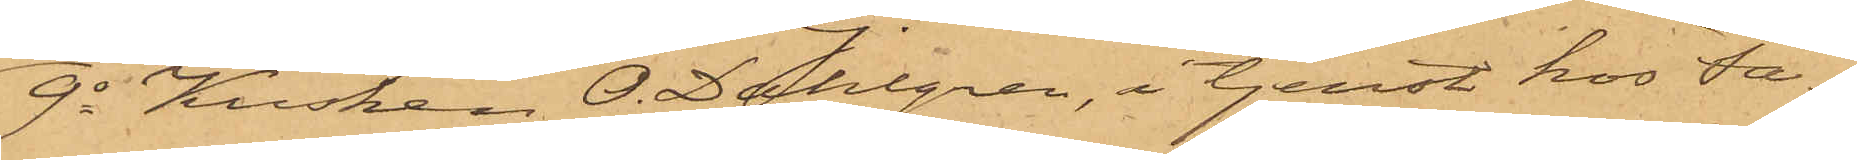9o Kusken O. Dahlgren, i tjenst hos Fa¬
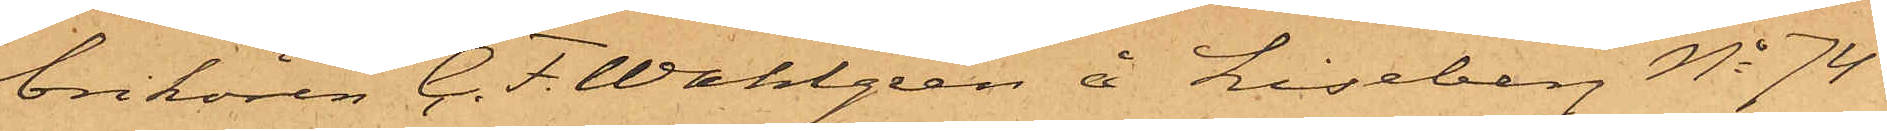brikören C. F. Wahlgren å Liseberg No 74
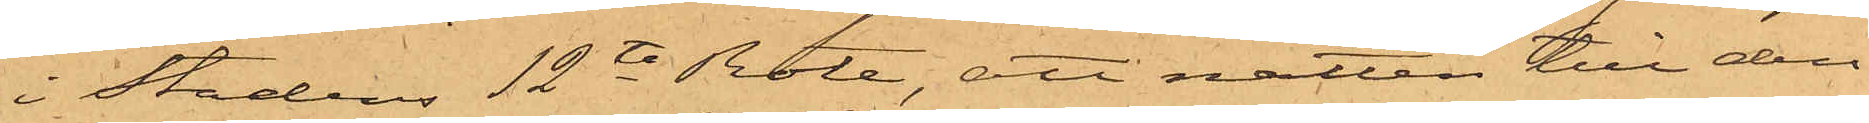i Stadens 12te Rote, att natten till den
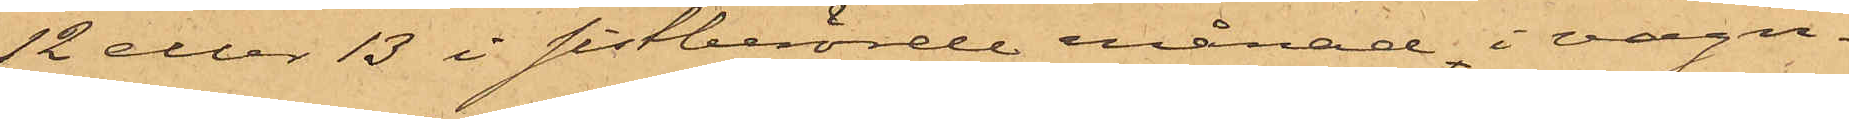12 eller 13 i sistberörde månad, i vagn¬
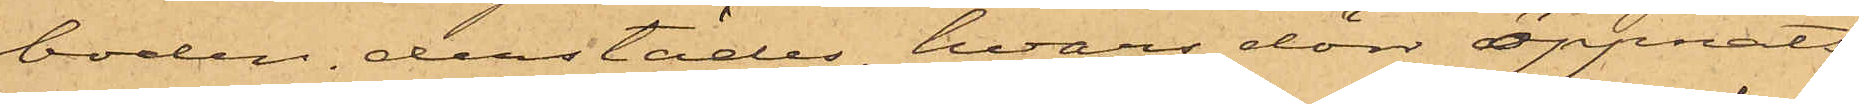boden derstädes, hvars dörr öppnats
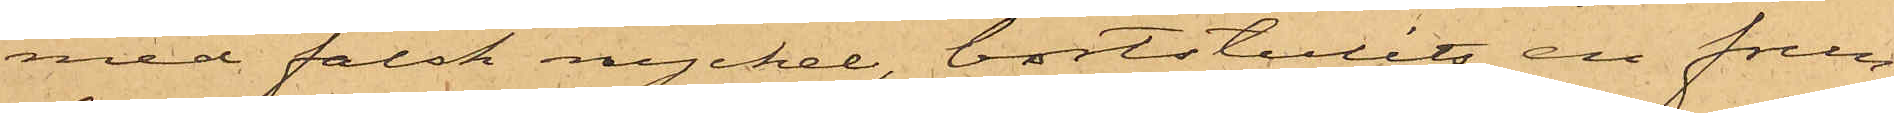med falsk nyckel, bortstulits en frun¬
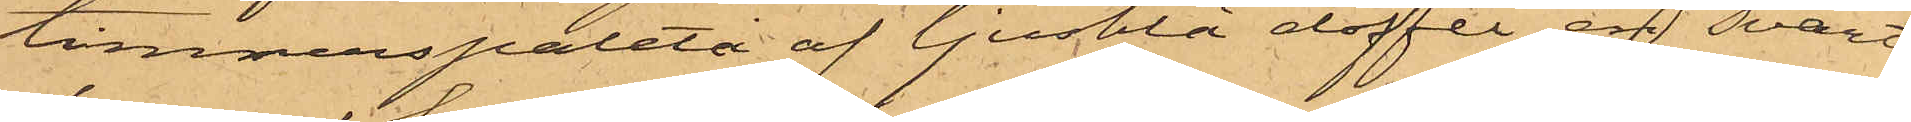timmerspaletå af ljusblå doffel, en svart
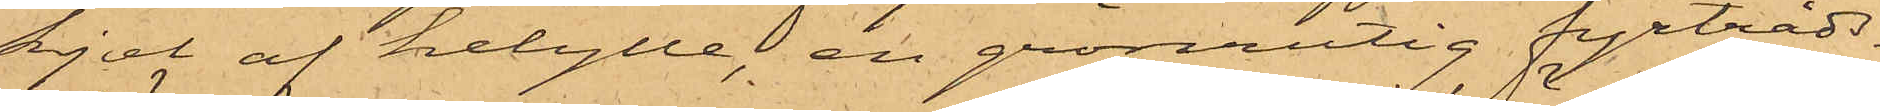kjol af helylle, en grönutig fyrtråds¬
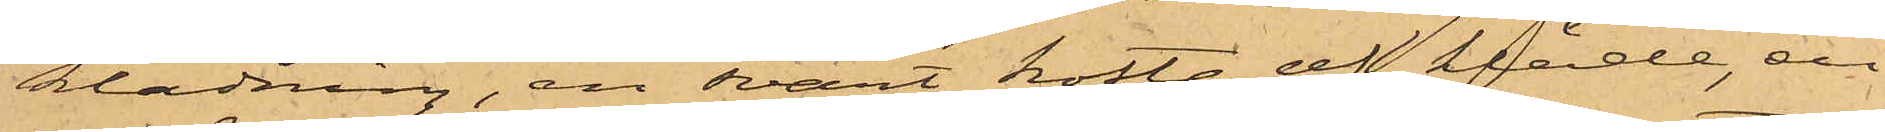klädning, en svart kofta af kläde, en
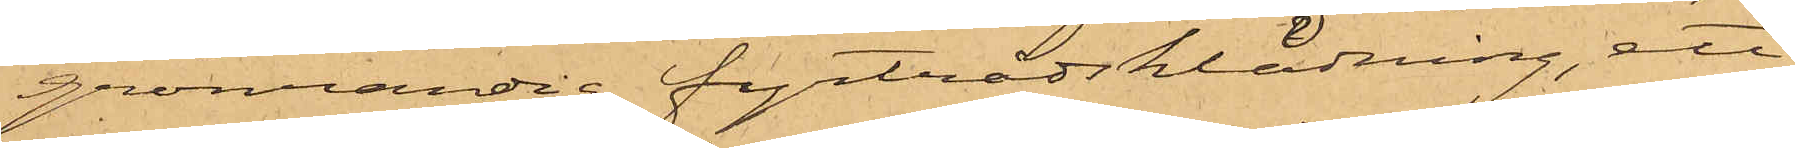grönrandig fyrtrådsklädning, ett
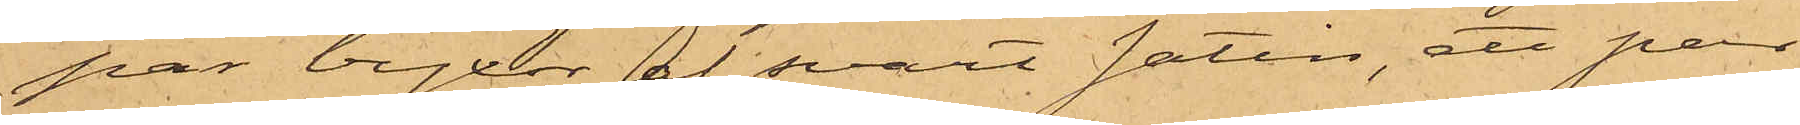par byxor af svart satin, ett par
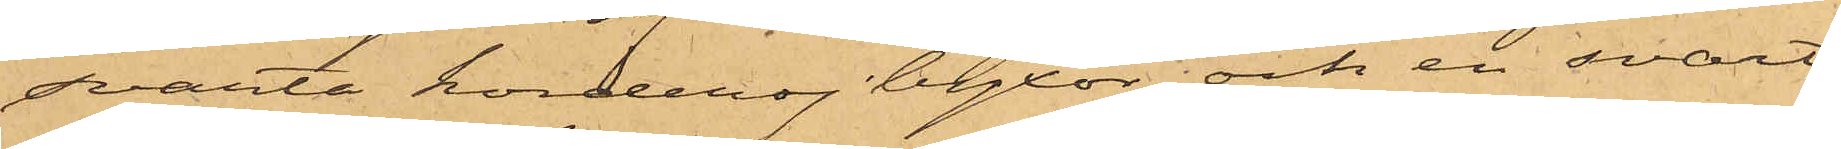svarta korderoj byxor och en svart
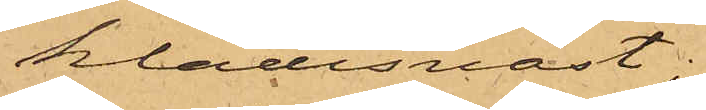klädesväst;
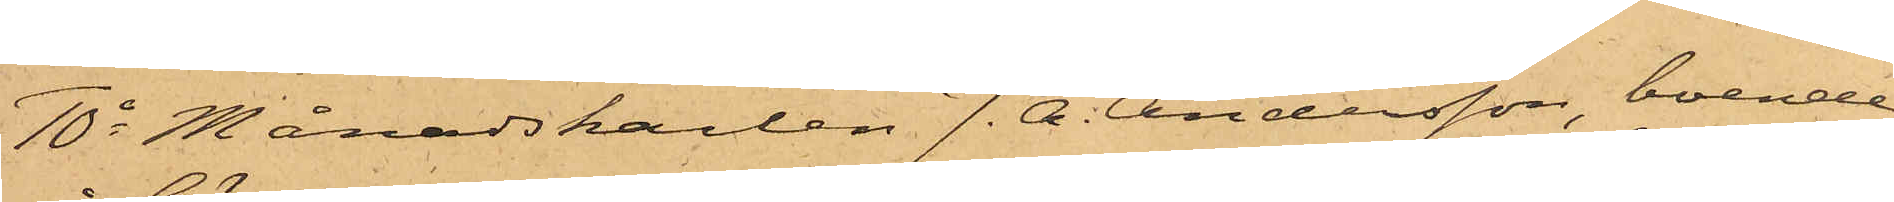10o Månadskarlen J. A. Andersson, boende
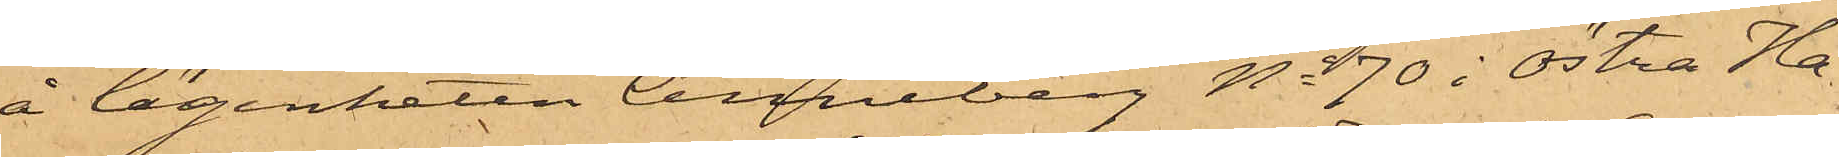å lägenheten Anneberg No 70 i Östra Ha¬
